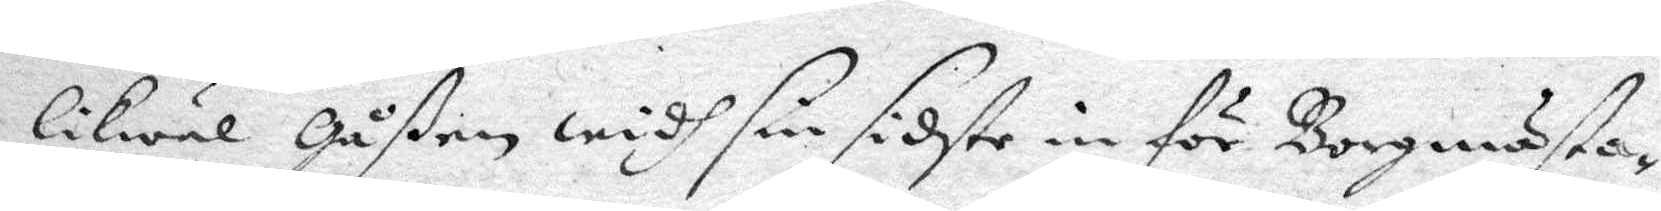likwäl Gåßen widh sin sidste in för Borgmästa¬
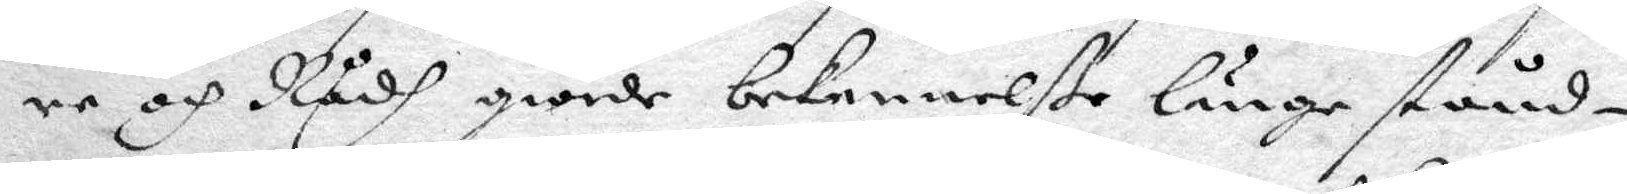re och Rådh giorde bekennelße länge stånd¬
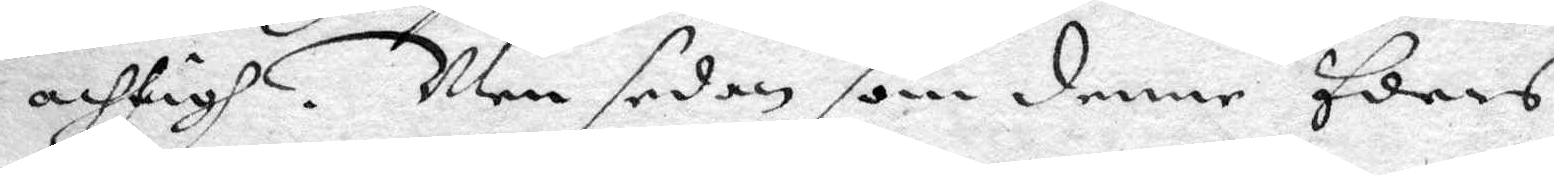achtigh. Men sedan som denne Eders
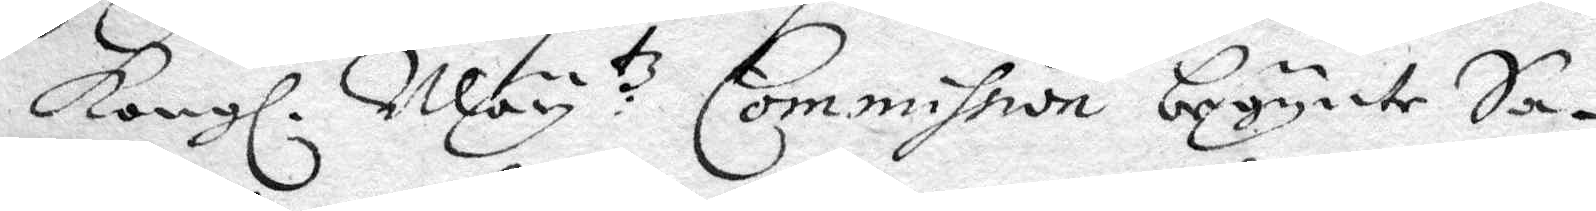Kongl. May:tz Commission begynte Sa¬
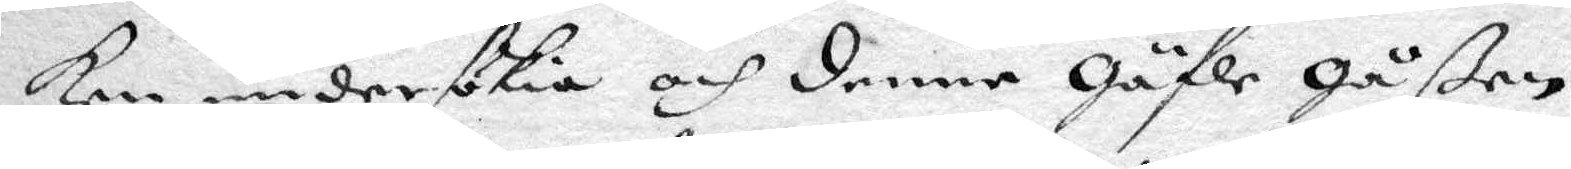ken undersökia och denne Gäfle Gåßen
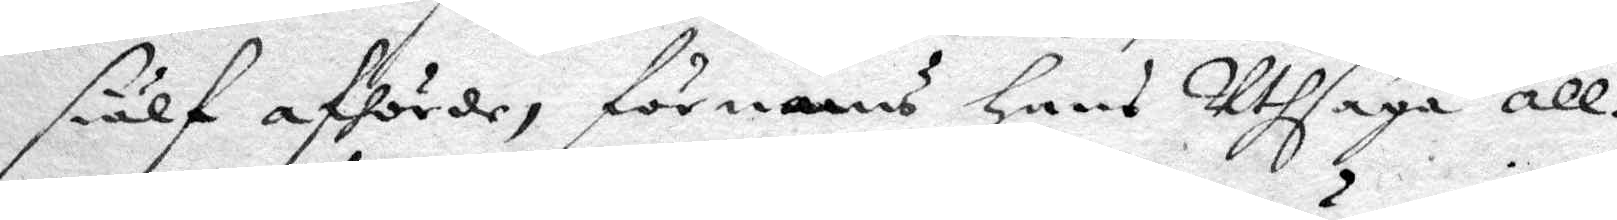siälf afhörde, förnams hans Uthsaga all¬
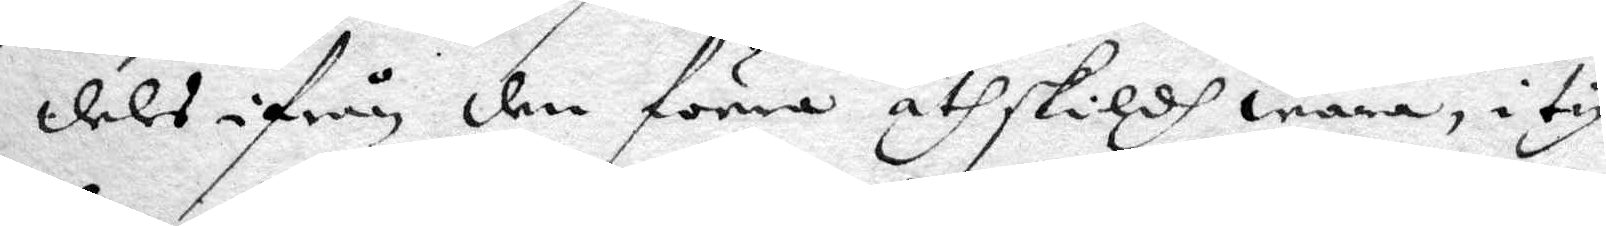deles ifrån den förra åthskildh wara, i ty
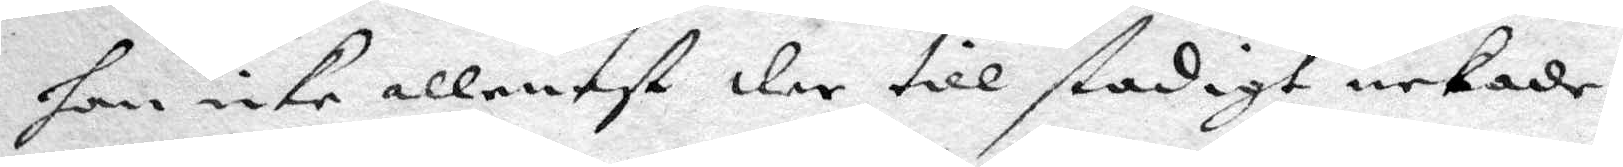han icke allenast der till stadigt nekade,
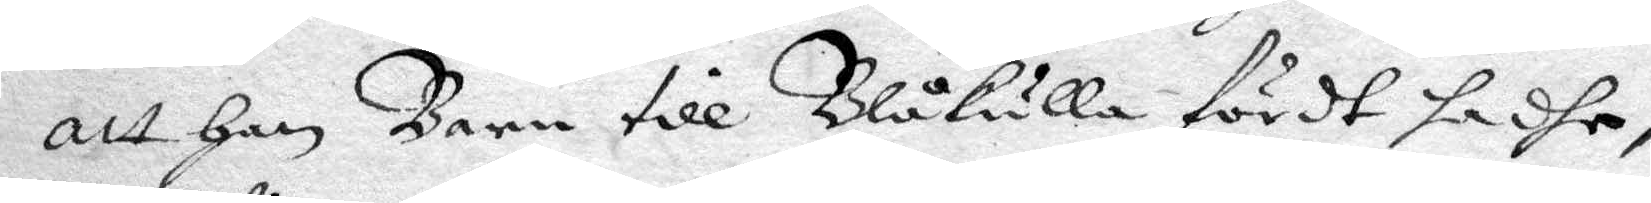att han Barn till Blåkulla fördt hadhe,
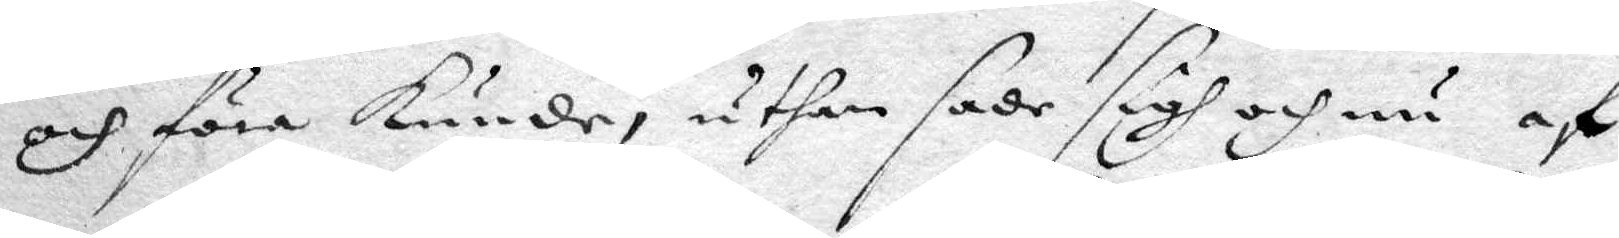och föra kunde, uthan sade sigh och nu af
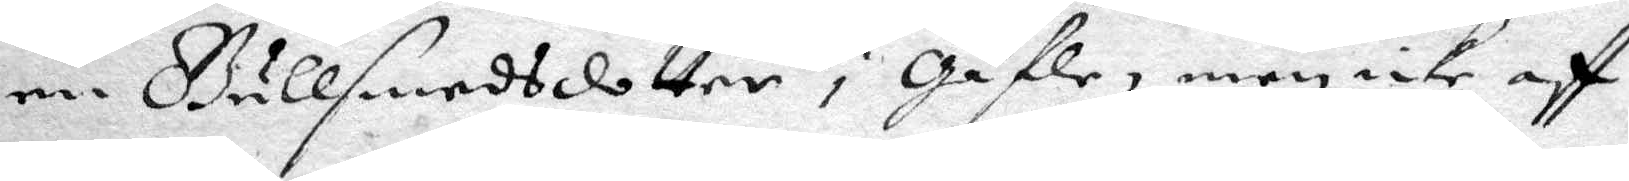en Gullsmedsdotter i Gäfle, men icke aff
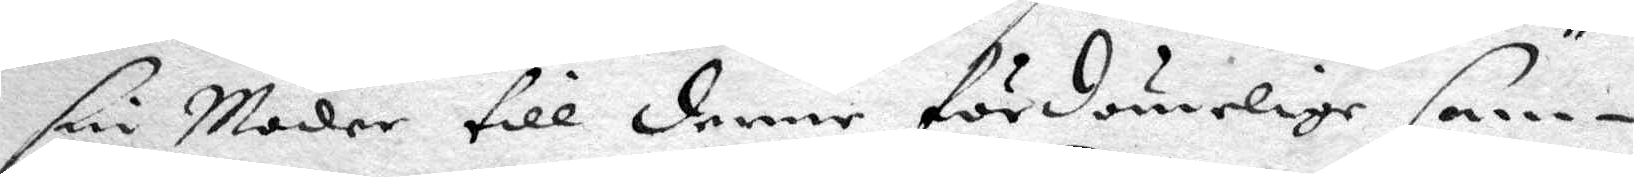sin Moder till denne fördömelige sam¬
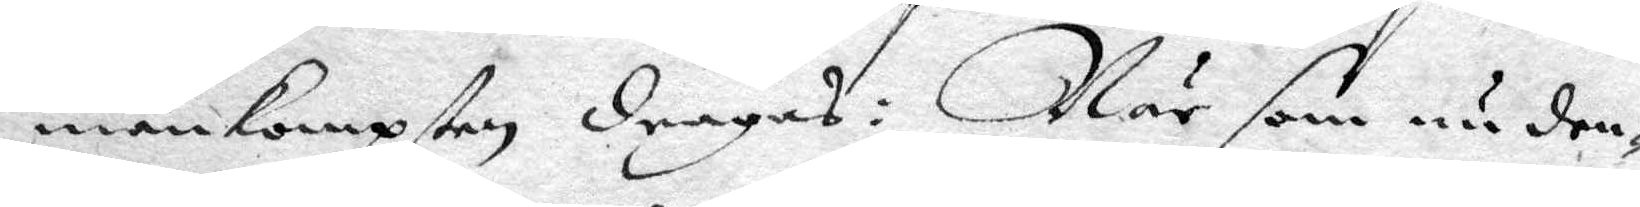mankompsten dragas: När som nu den¬
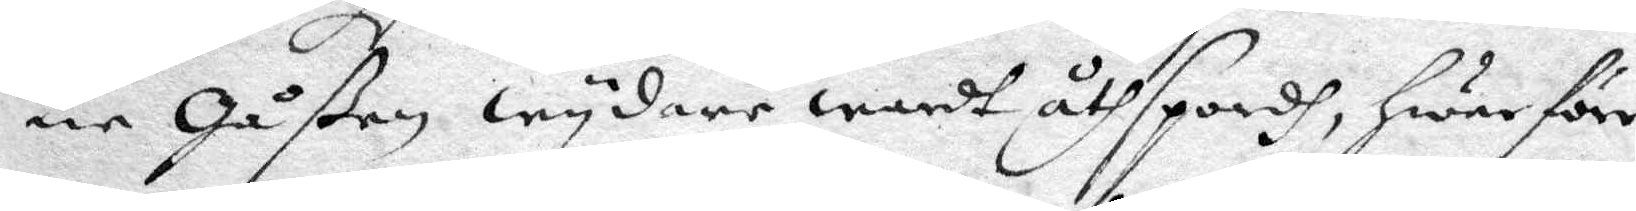ne Gåßen wydare wardt åthspordh, hwarföre
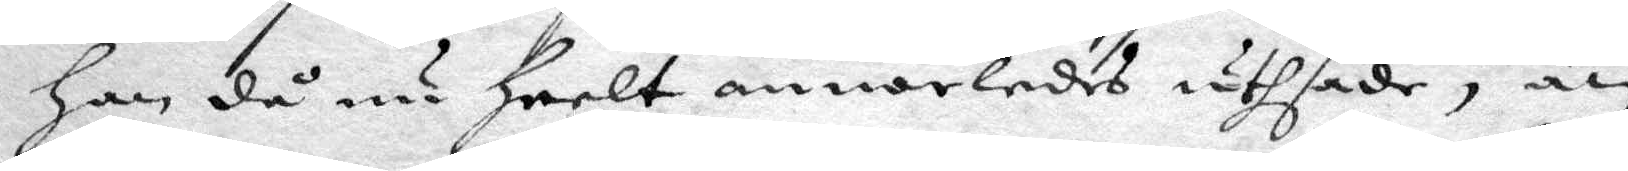han då nu heelt annorledes uthsade, än
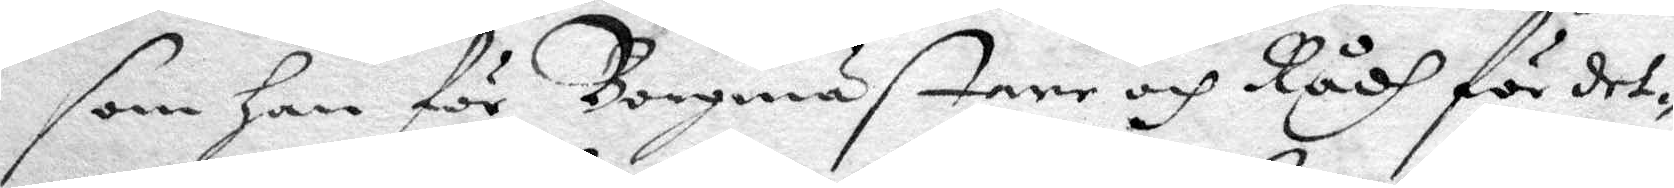som han för Borgmästare och Rådh för det¬
